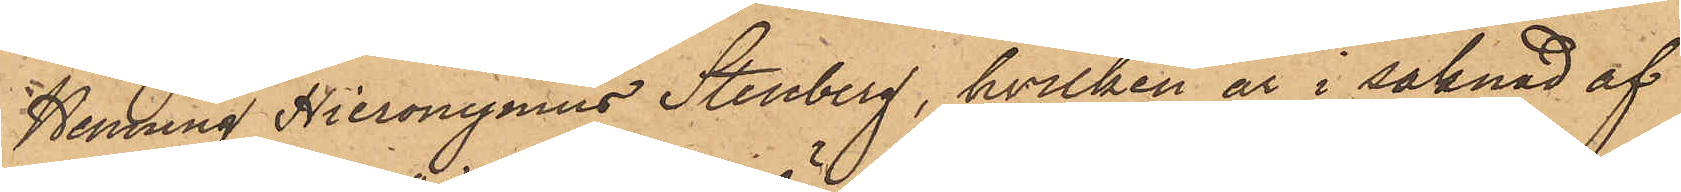Henning Hieronynus Stenberg, hvilken är i saknad af
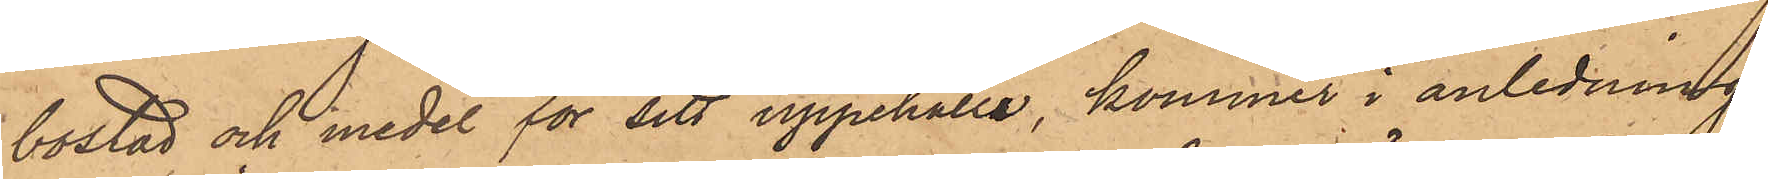bostad och medel för sitt uppehälle, kommer i anledning
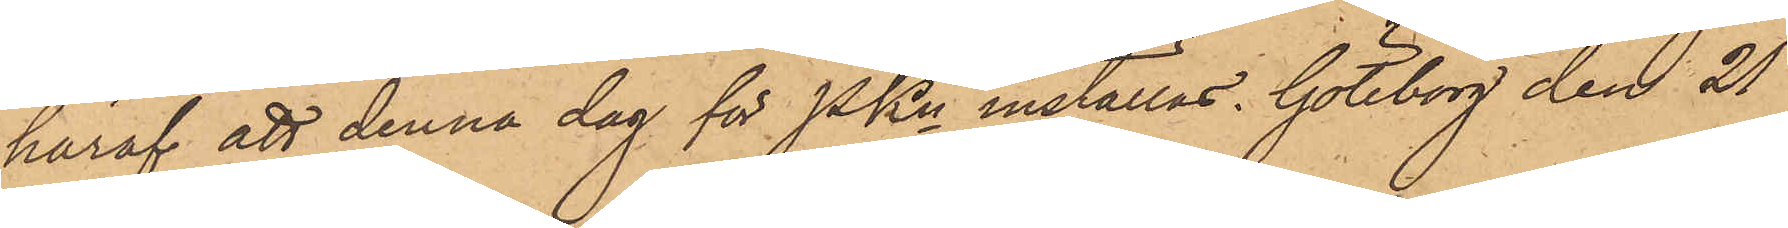häraf att denna dag för PKn inställas. Göteborg den 21
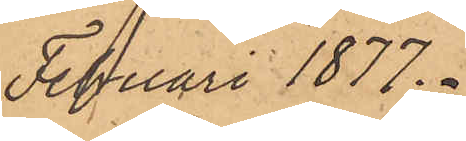Feruari 1877.
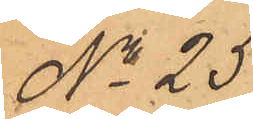No 25.
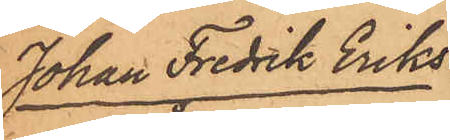Johan Fredrik Eriks¬
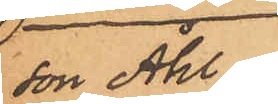son Åhl
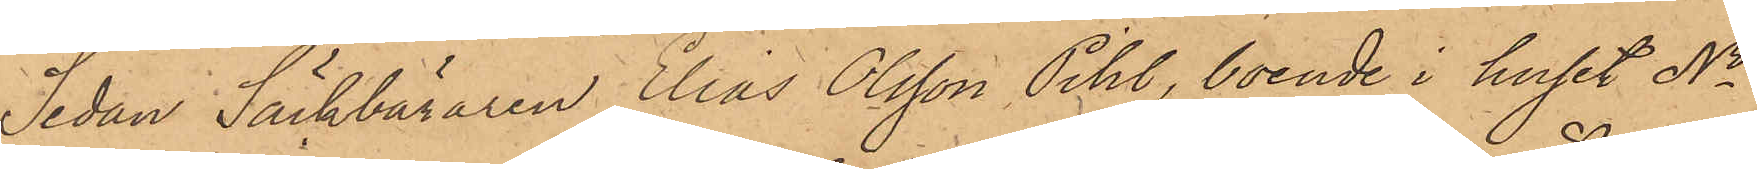Sedan Säckbäraren Elias Olsson Pihl, boende i huset No
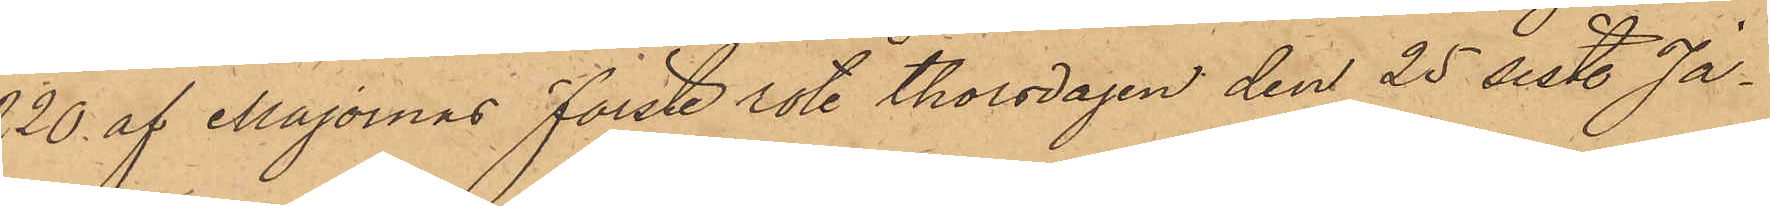220 af Majornas Förste rote Thorsdagen den 25 sistl. Ja¬
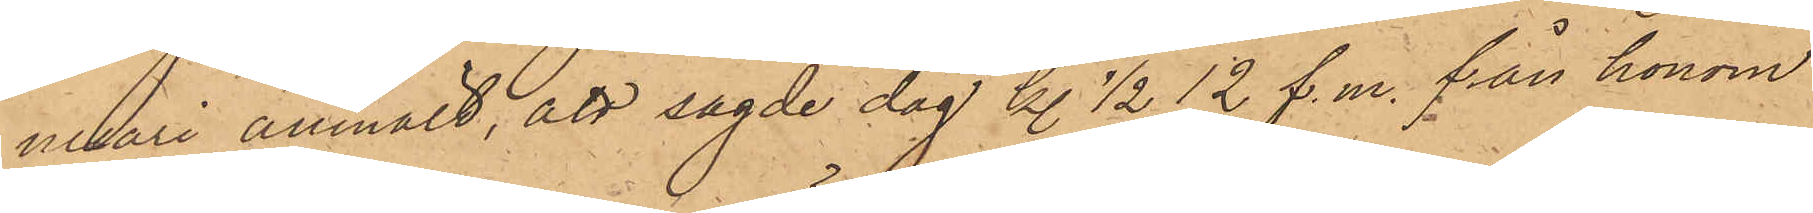nuari anmält, att sagde dag kl. 1/2 12 f. m. från honom
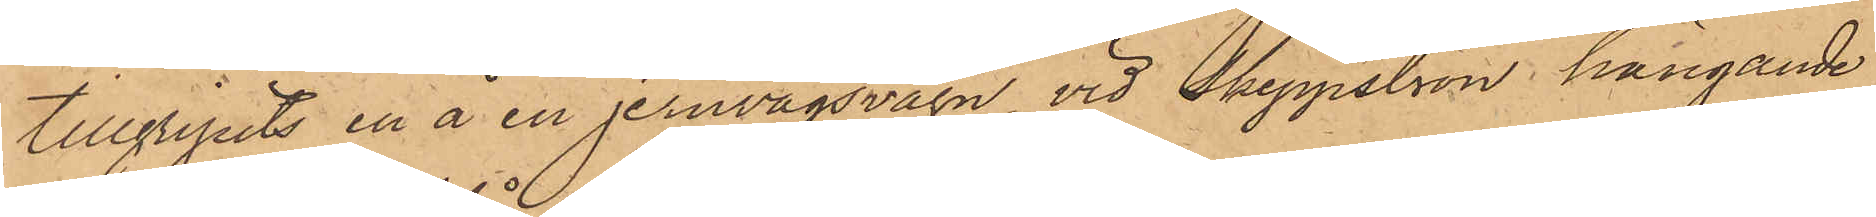tillgripits en å en jernvägsvagn vid Skeppsbron, hängande
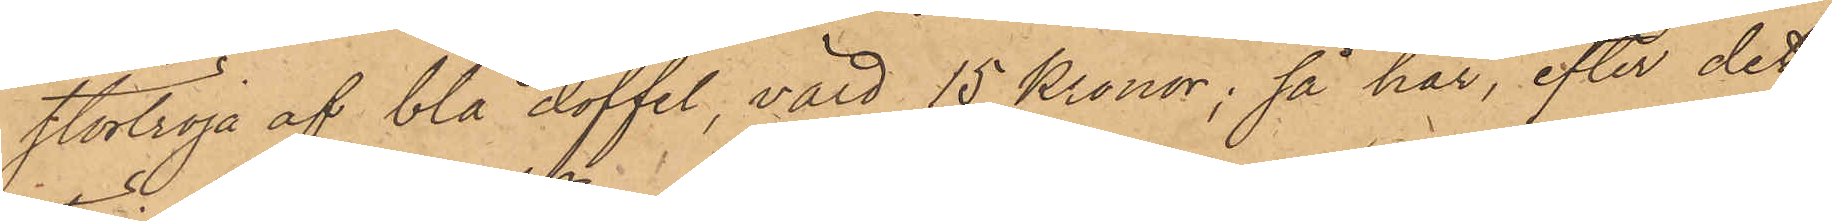stortröja af blå doffel, värd 15 Kronor; så har, efter det
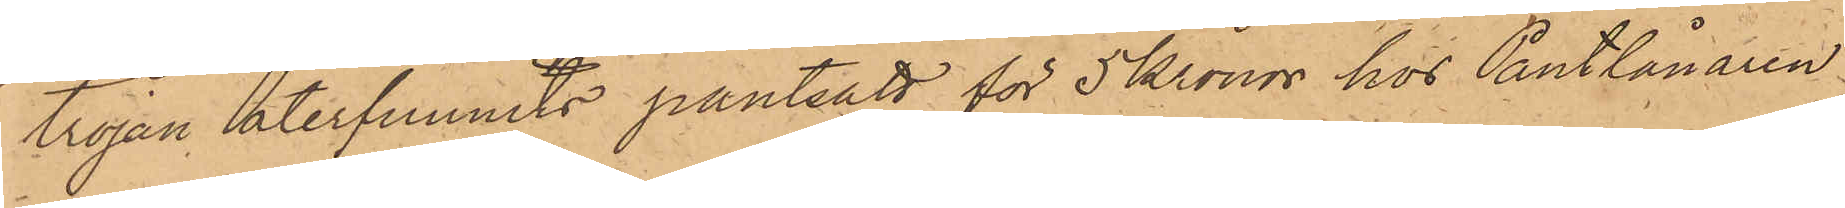tröjan återfunnits pantsatt för 5 Kronor hos Pantlånaren
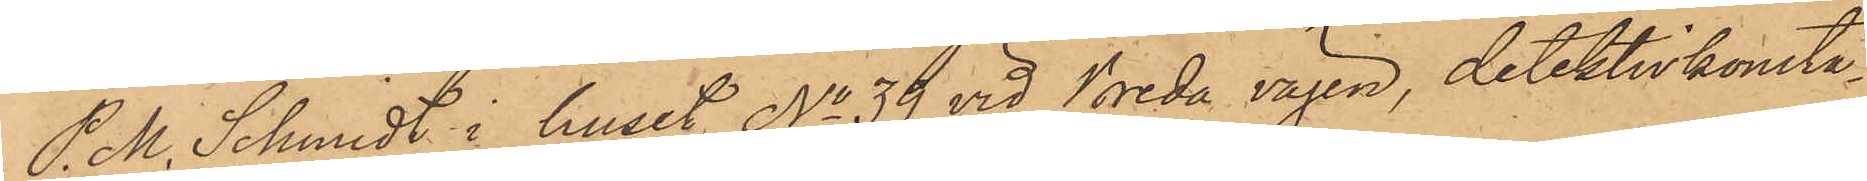P. M. Schmidt i huset No 39 vid Breda vägen, detektivkonsta¬
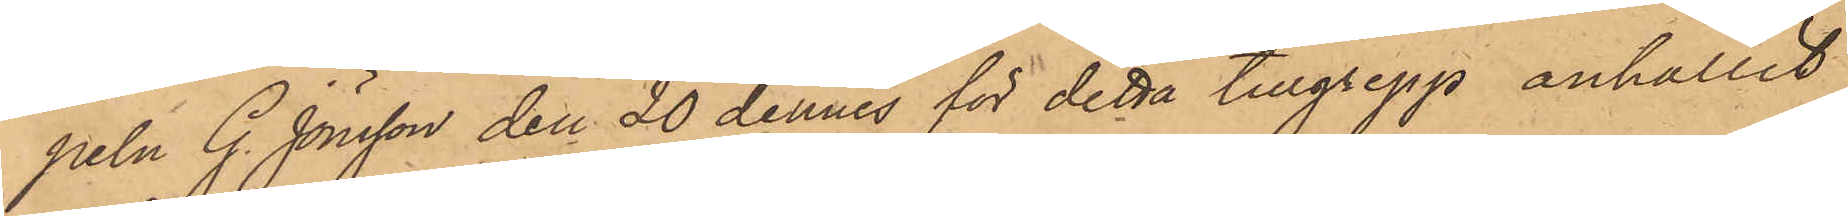peln G. Jönsson den 20 dennes för detta tillgrepp anhållit
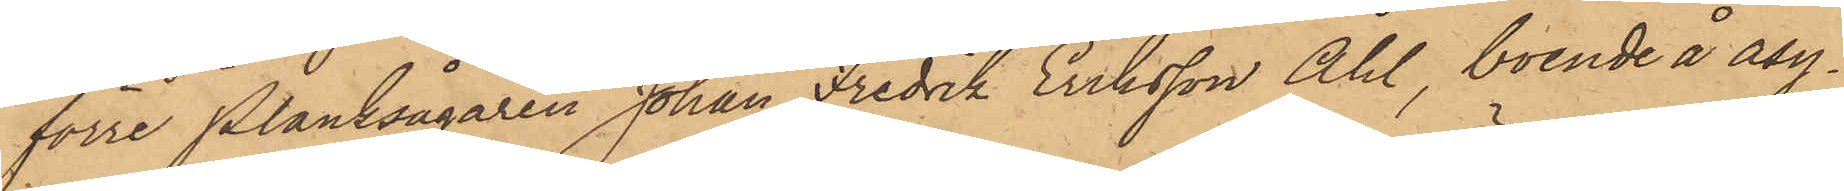förre planksågaren Johan Fredrik Eriksson Åhl, boende å asy¬
